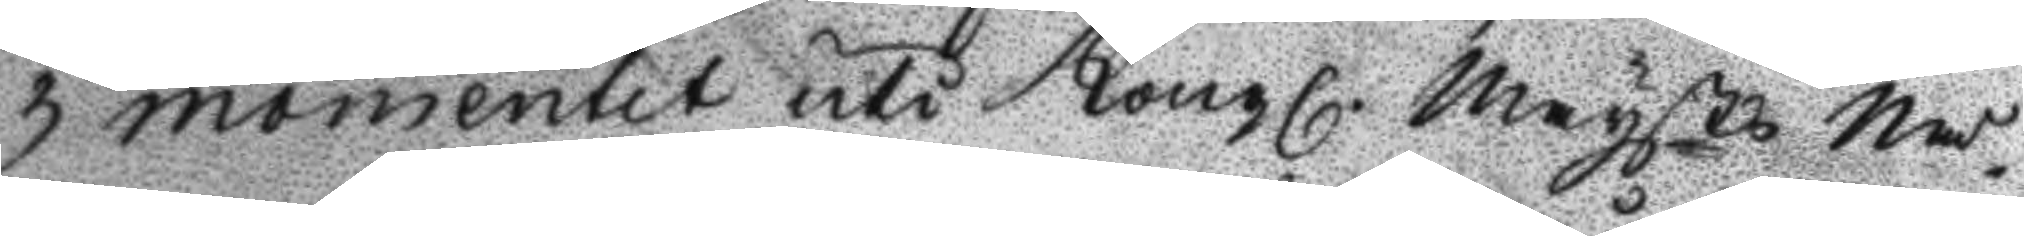3 momentet uti Kongl. Maysts Nå¬
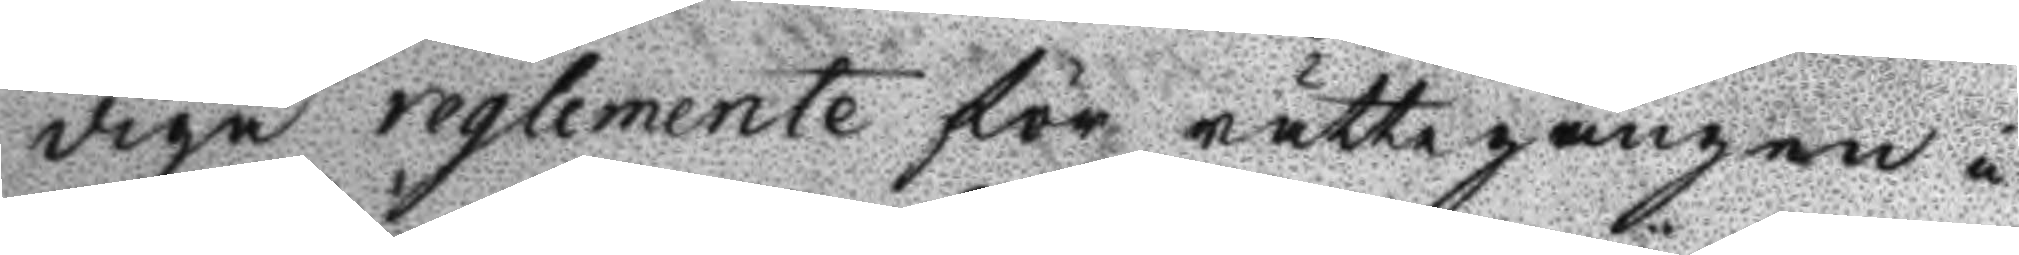dige reglemente för rättegången i
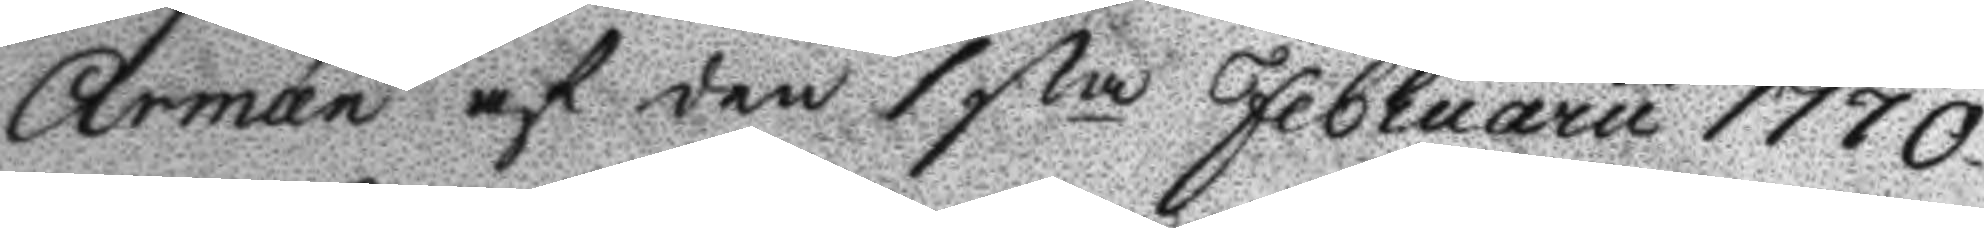Armén af den 1sta Februarii 1770
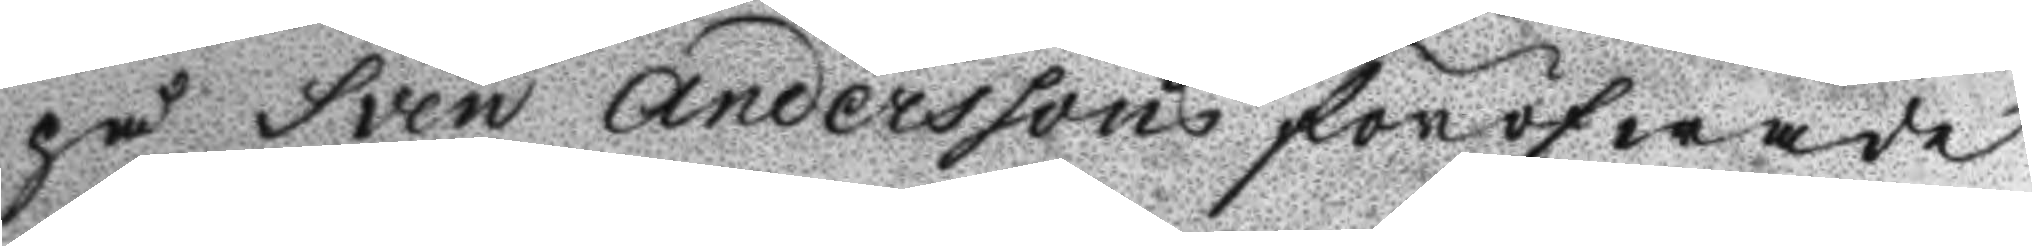på Sven Anderssons föröfwade
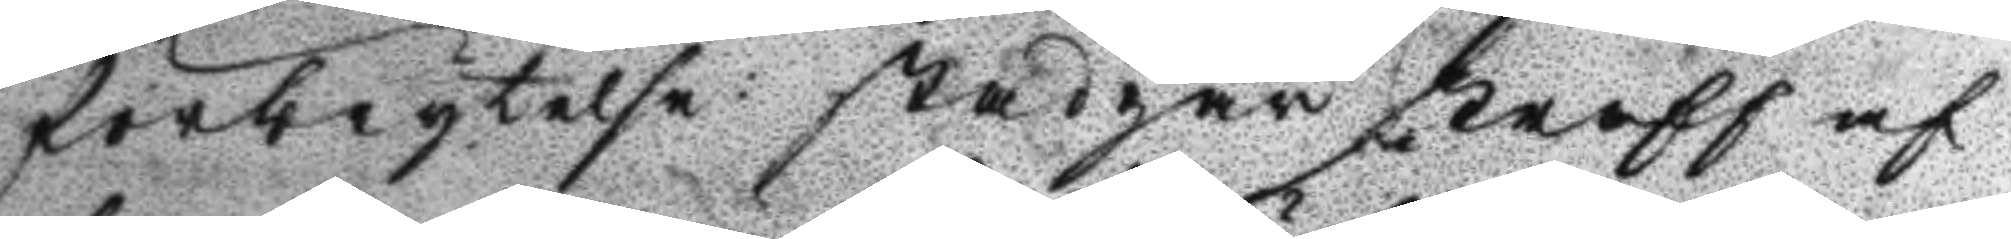förbrytelse stadgar straff af
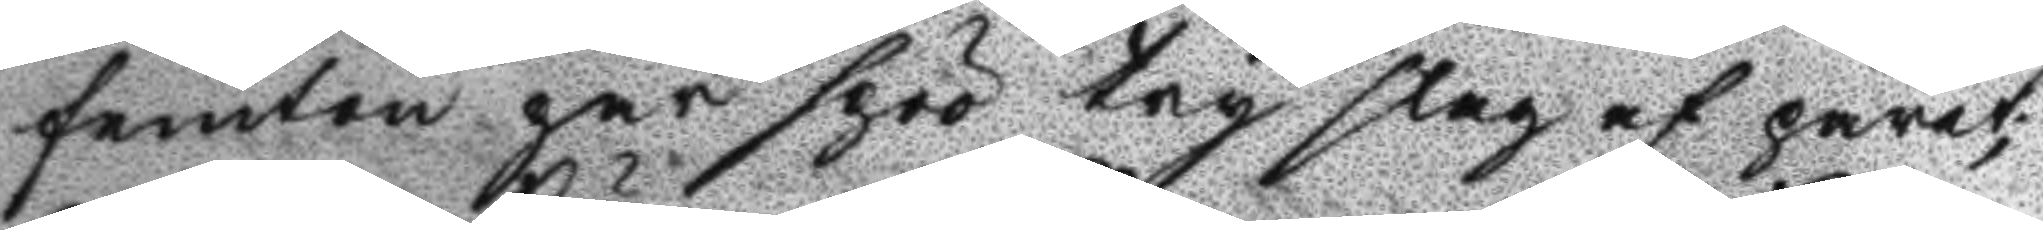femton par spöö try slag af paret;
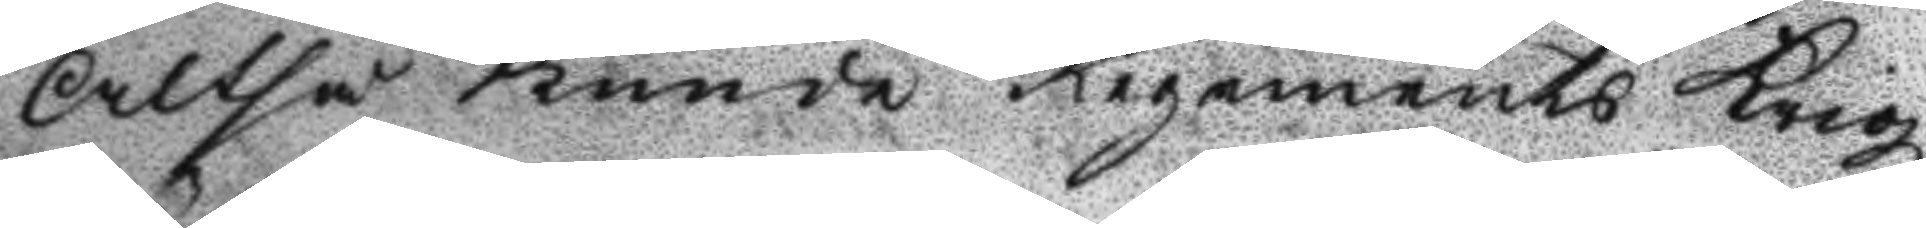Altså Kunde Regements Krigz
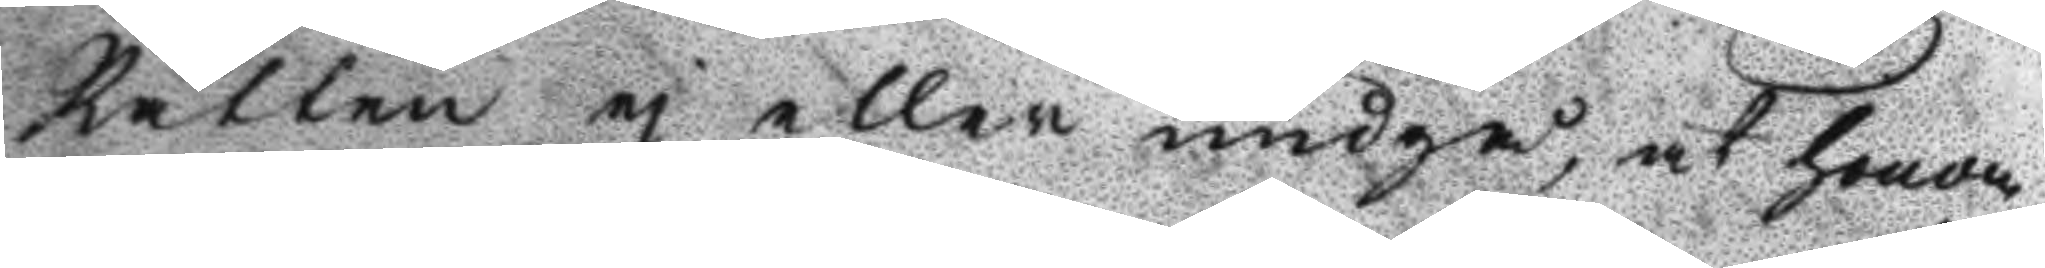Rätten ej eller undgå, at honom
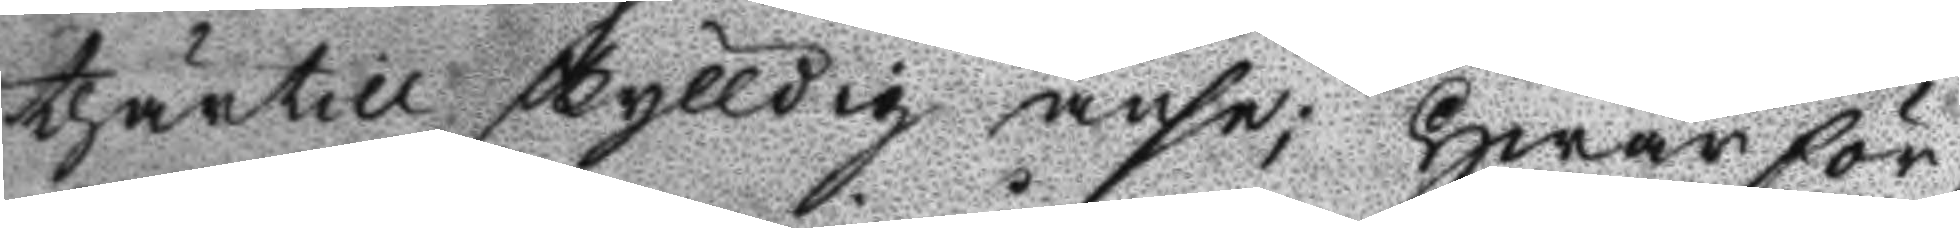thärtill skylldig anse; Hwarför¬
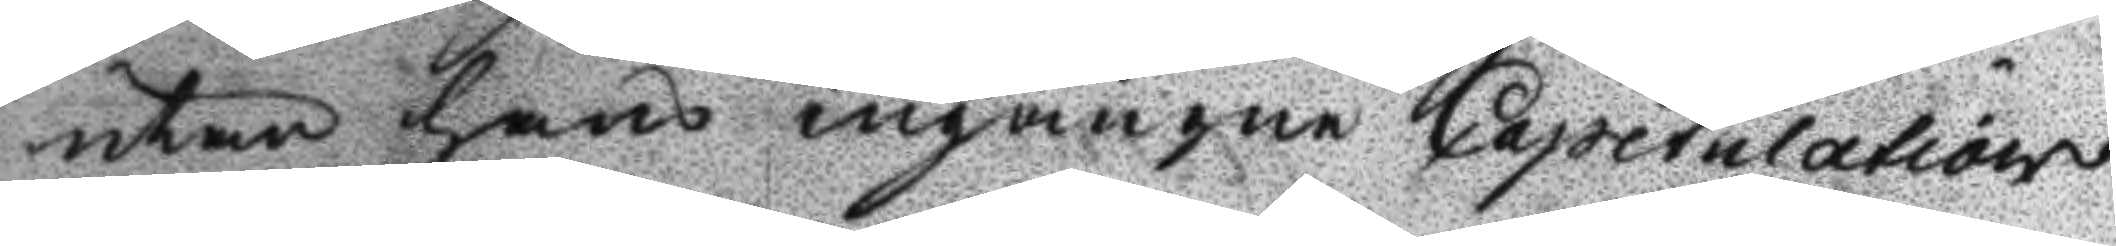utan hans ingångne Capitulations
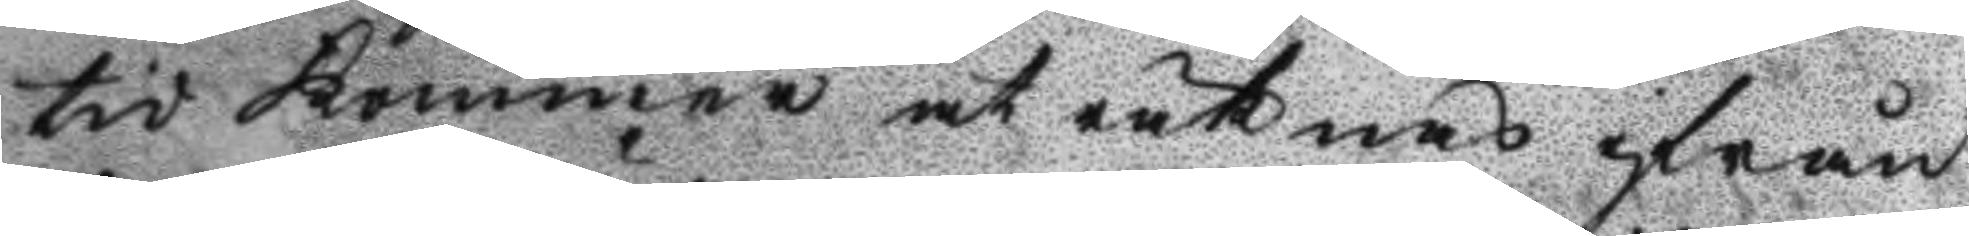tid kommer at räknas ifrån
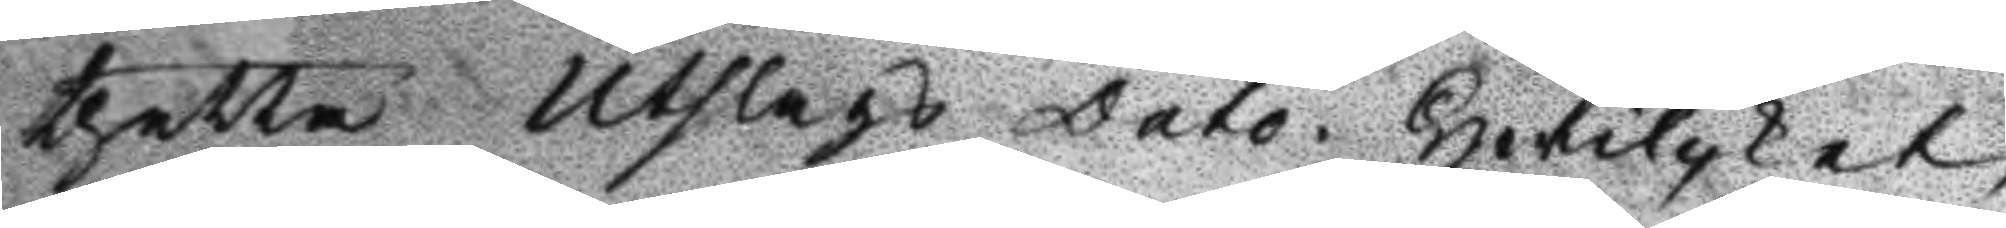theyya Utslags Dato. Hwilcket
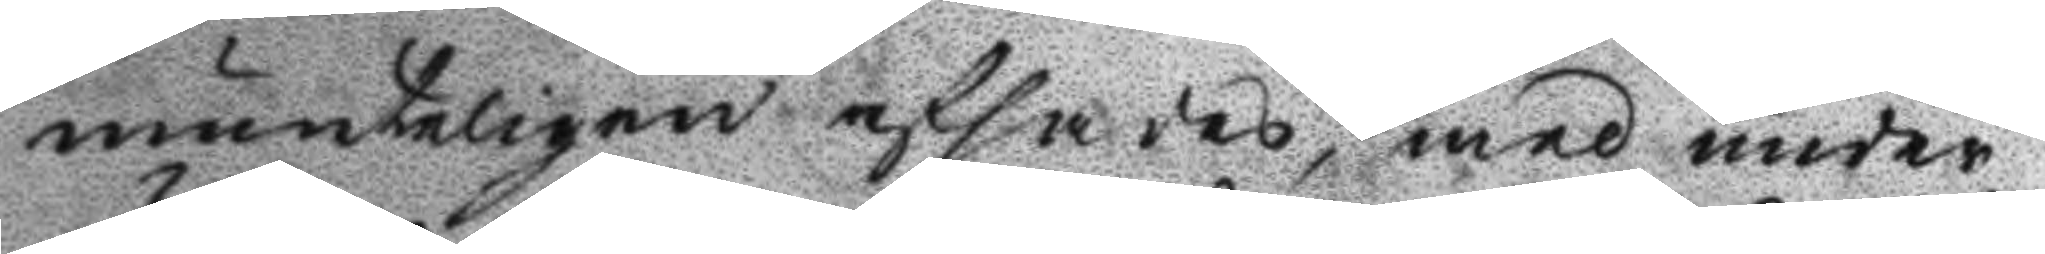munteligen afsades, med under¬
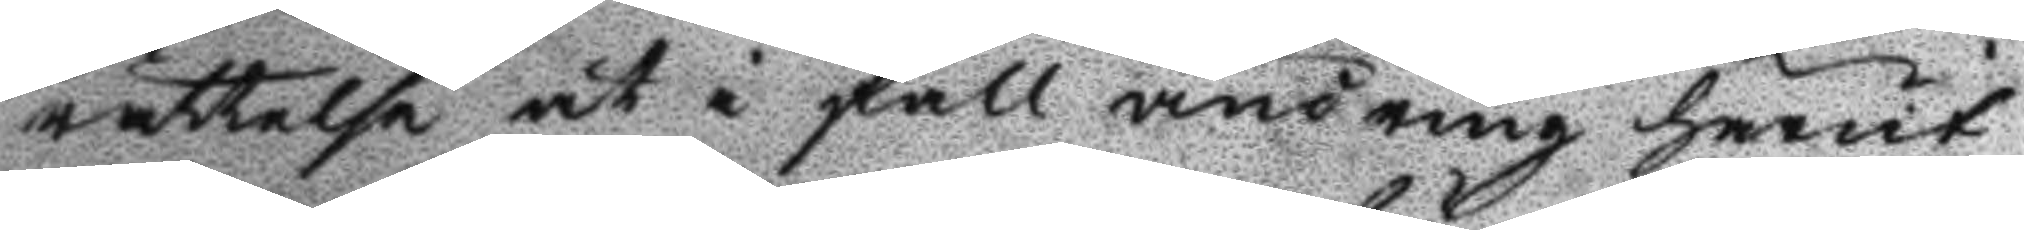rättelse at i fall ändring härut
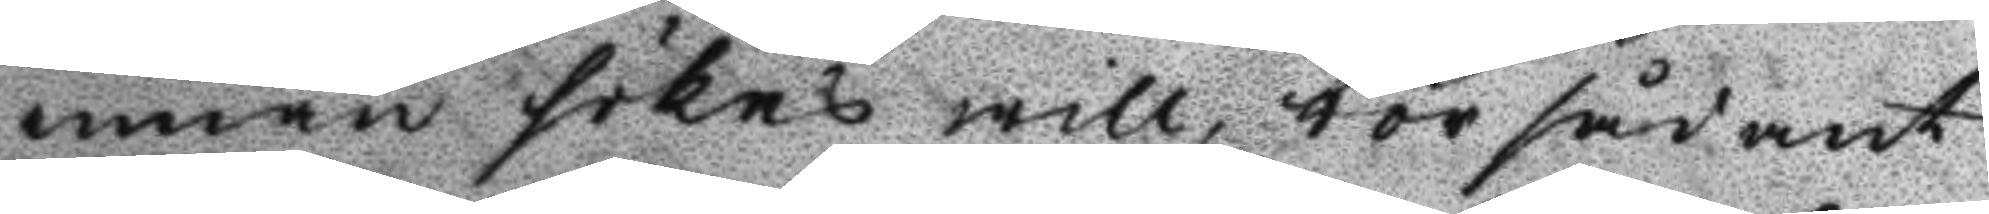innan sökas will, bör sådant
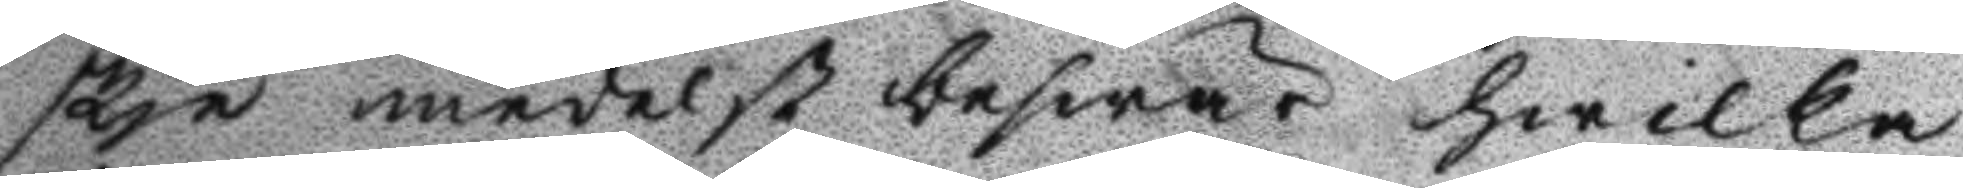skje medelst beswär hwilka
